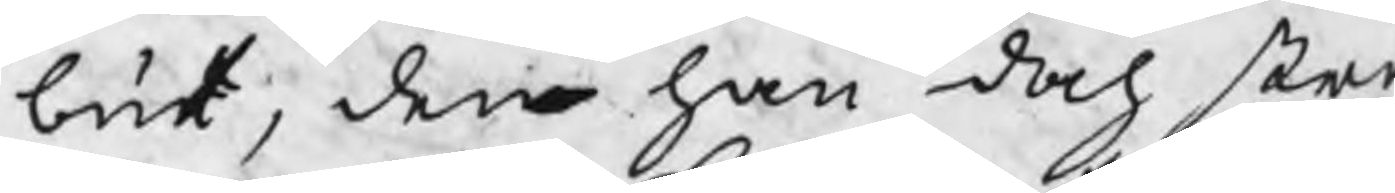but, den han doch stra
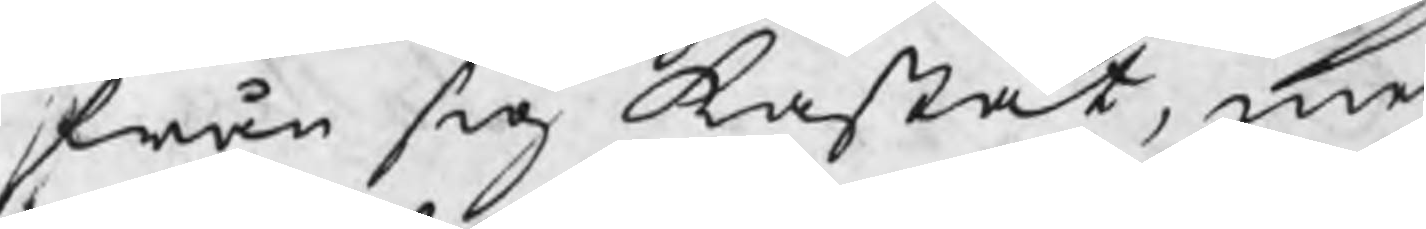från sig kastat, me
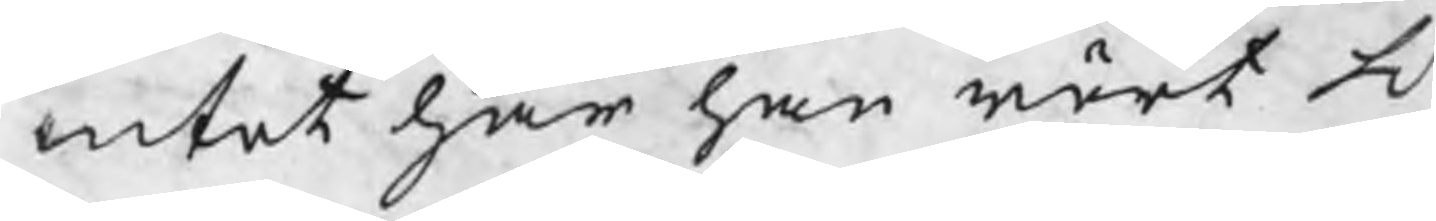intet har han rört H
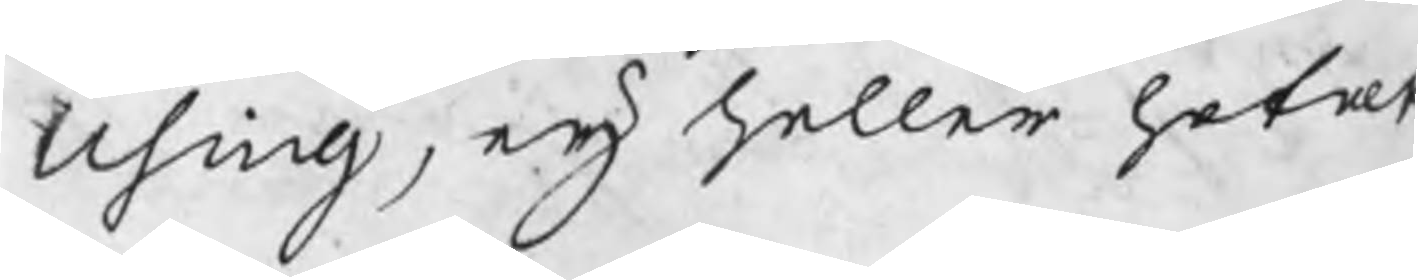Using, eij heller hotat
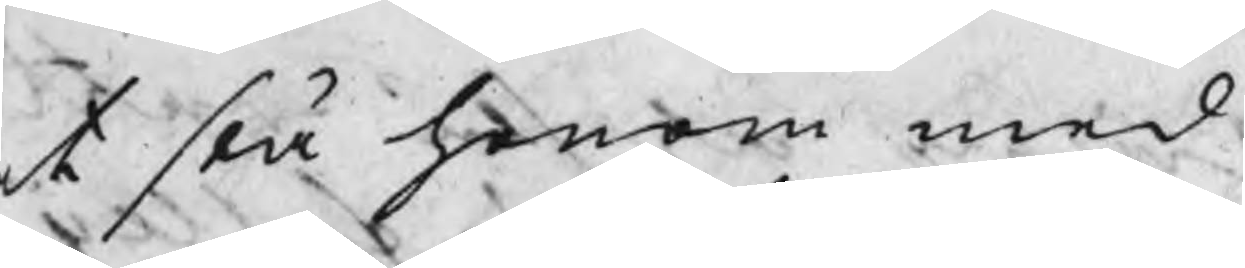t slå honom med
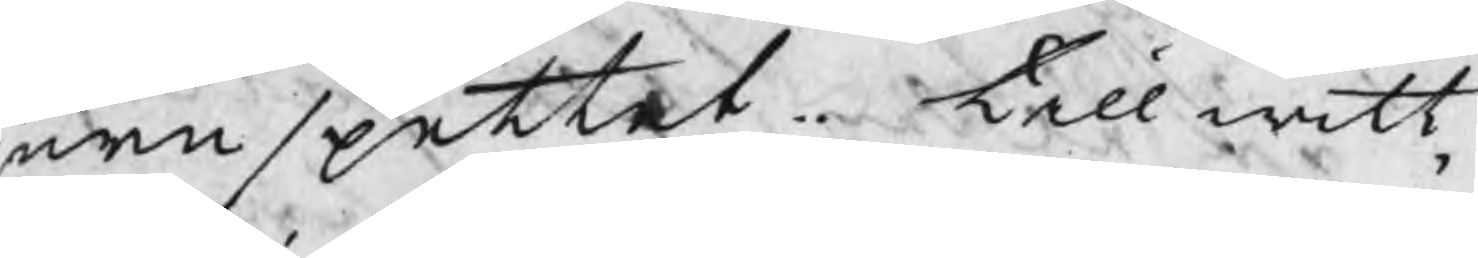ernspettet. Till witt¬
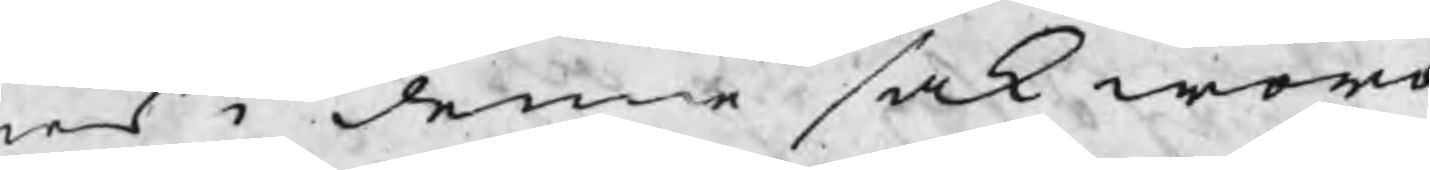en i denna sak woro
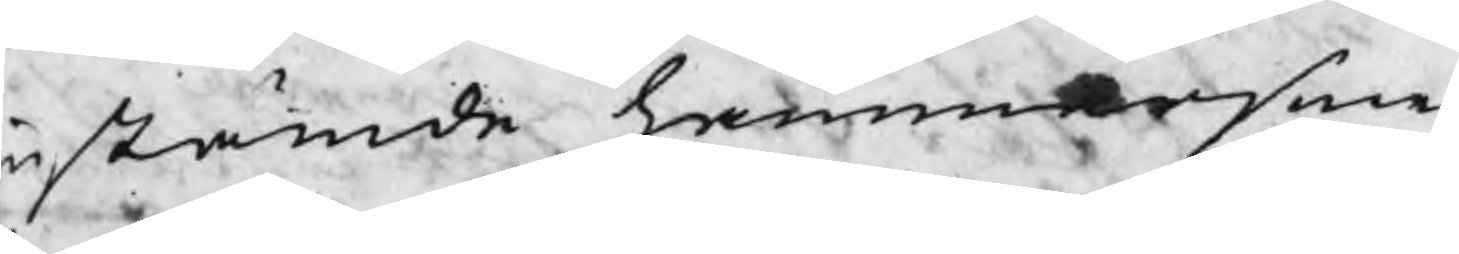nstämde hammarsme¬
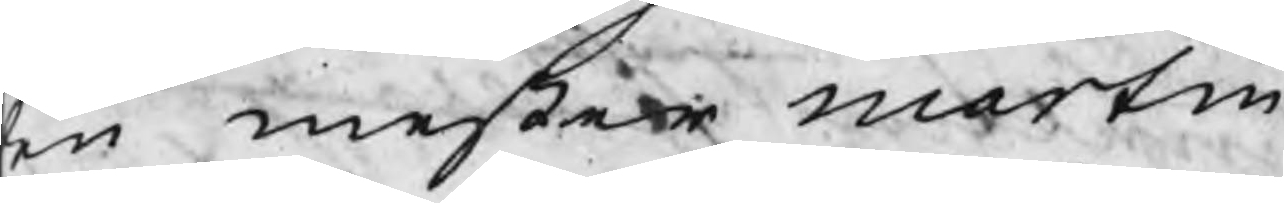en mester Martin
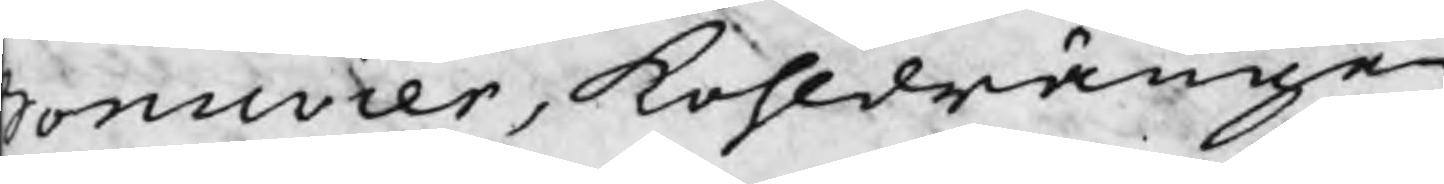Bonnvier, kohldrängen
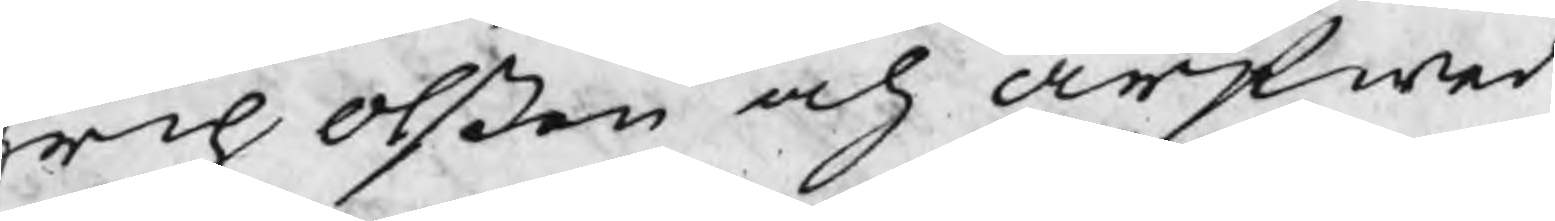Erich Olßon och Arfwed
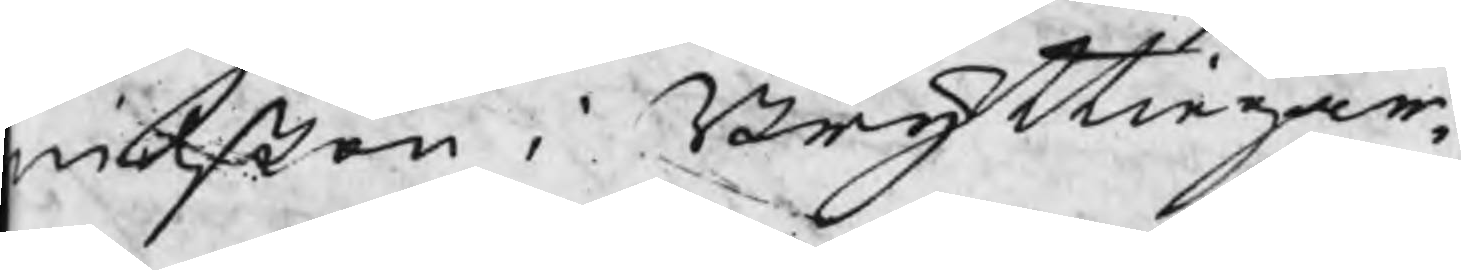Nilßon i Bruttiegår¬
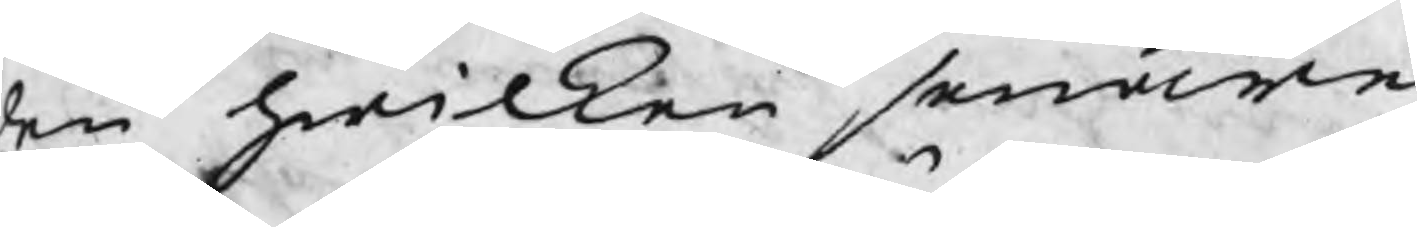en hwilken senare
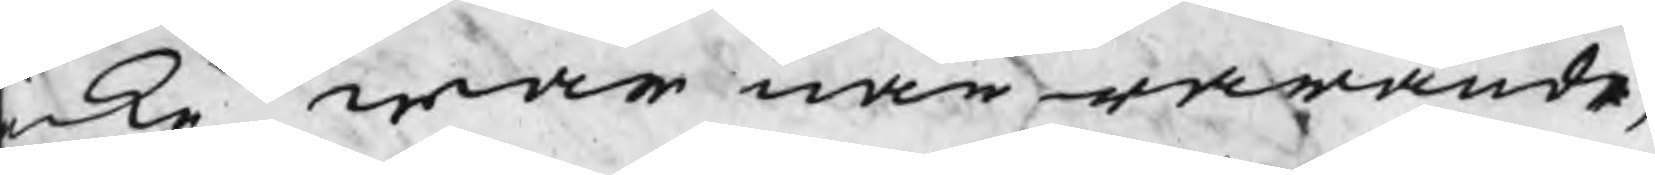icke wore närwarande,
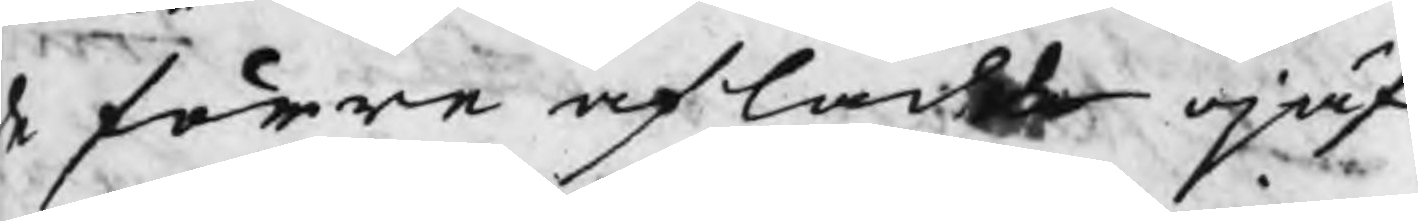de förre aflade ojäf¬
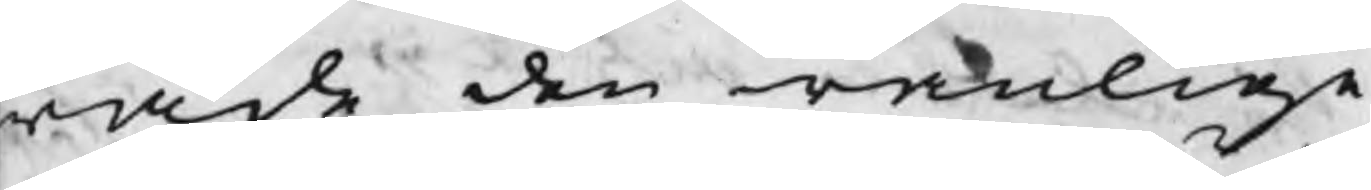wade den wanlige
